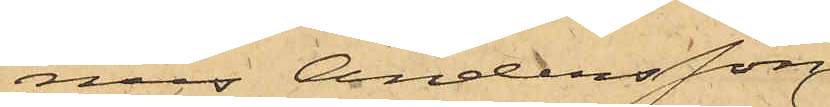nus Andersson
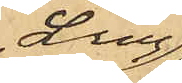Ling,
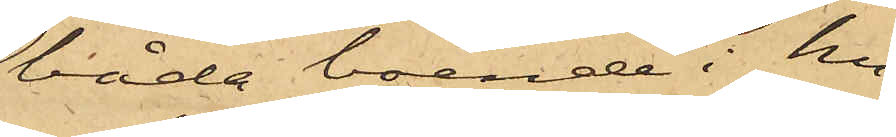båda boende i hu¬
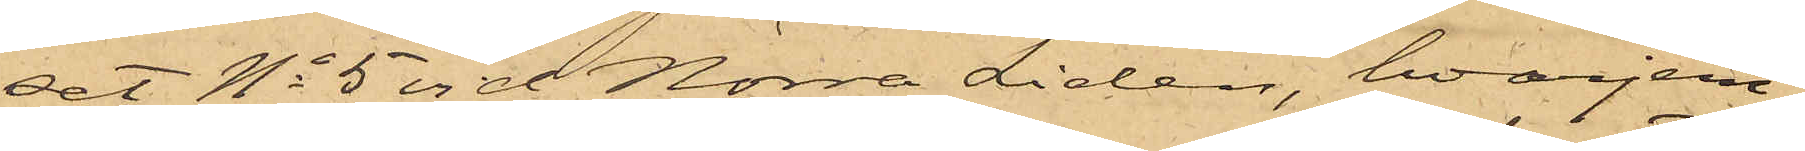set No 5 vid Norra Liden, hvarjem¬
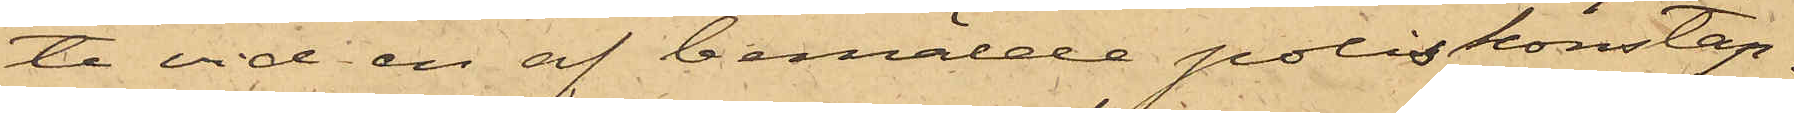te vid en af bemälde poliskonstap¬
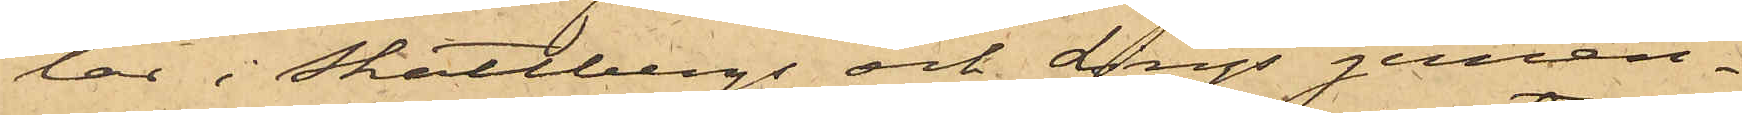lar i Skattbergs och Lings gemen¬
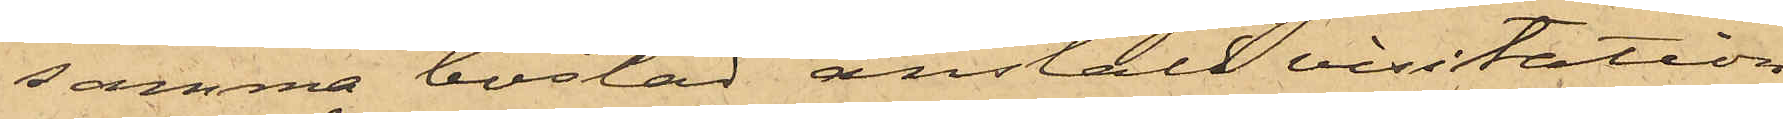samma bostad anstäld visitation
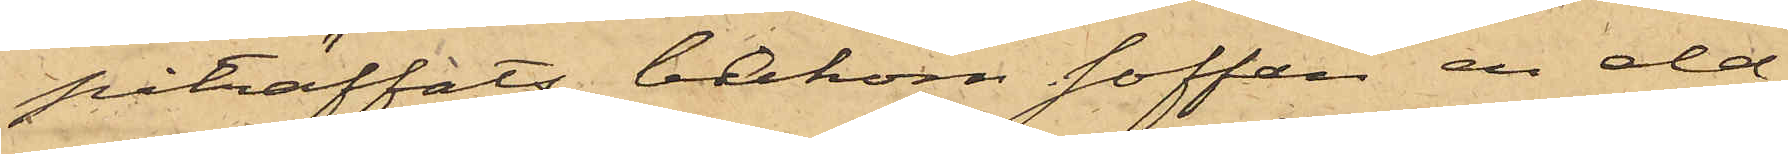påträffats bakom soffan en eld¬
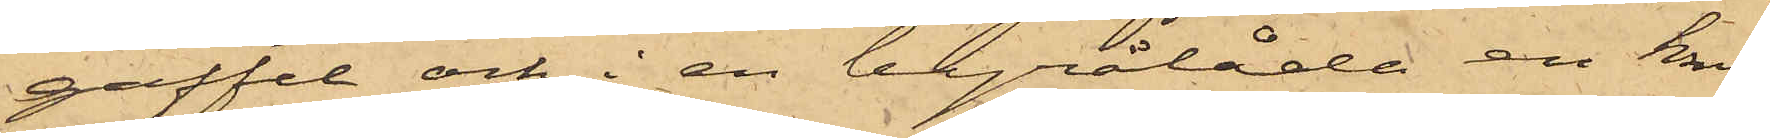gaffel och i en byrålåda en knif
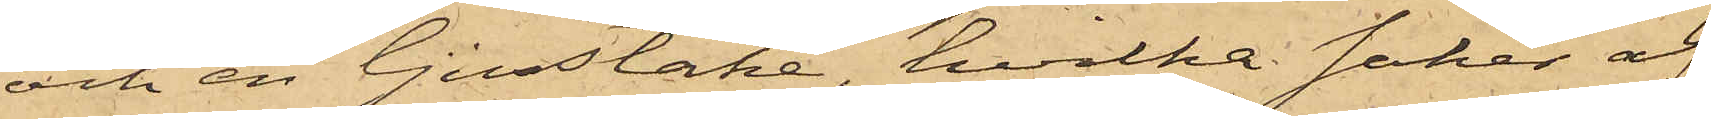och en ljusstake, hvilka saker af
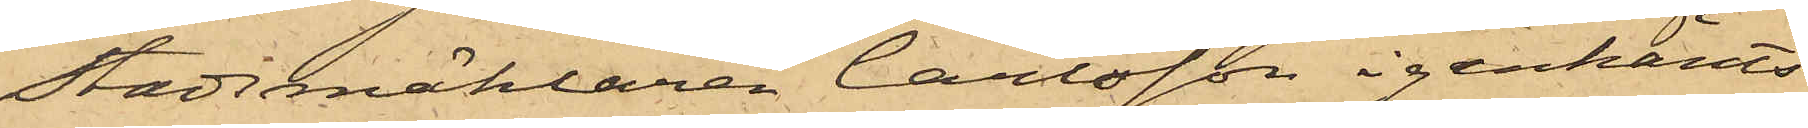Stadsmäklaren Carlsson igenkänts
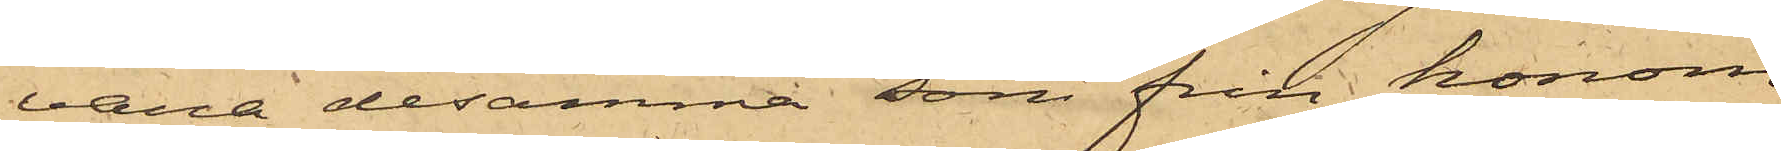vara desamma, som från honom
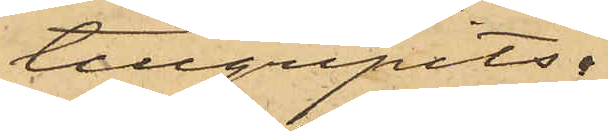tillgripits.
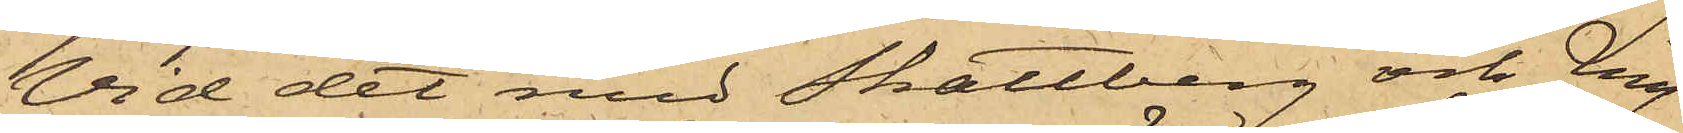Vid det med Skattberg och Ling
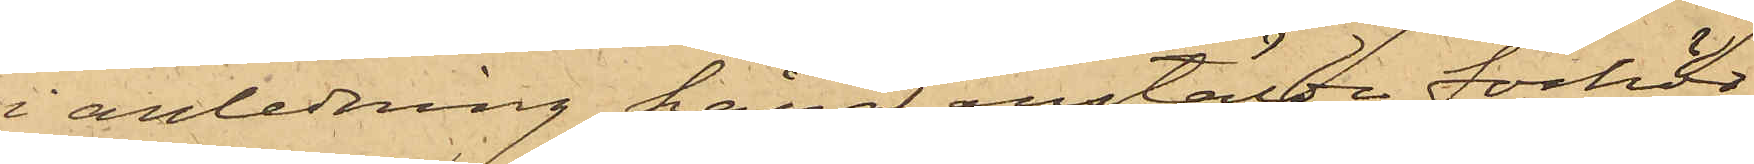i anledning häraf anstälda förhör
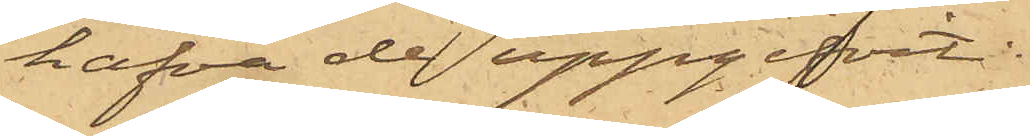hafva de uppgifvit:
